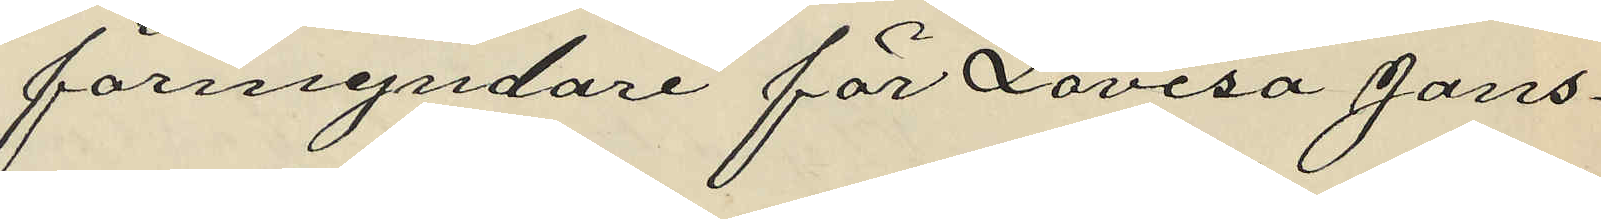förmyndare för Lovisa Jans¬
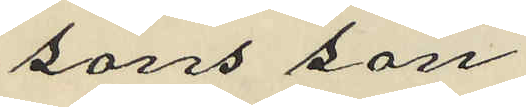sons son
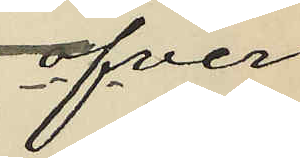öfver¬
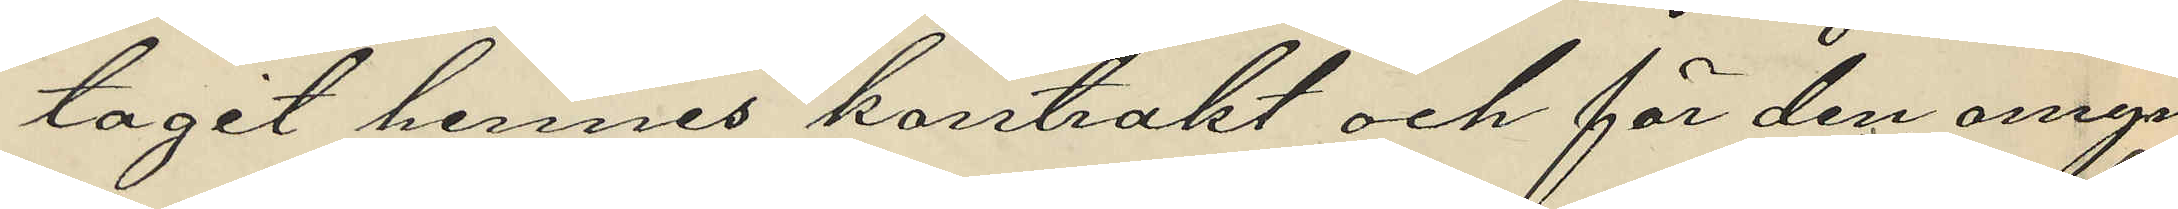tagit hennes kontrakt och för den omyn¬
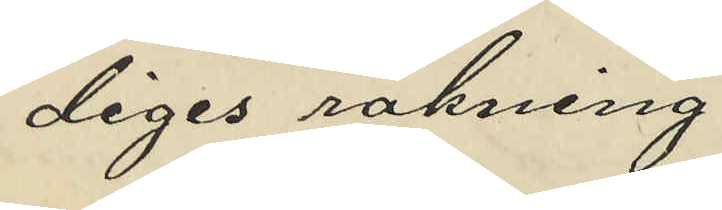diges räkning
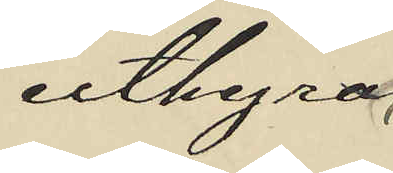uthyra
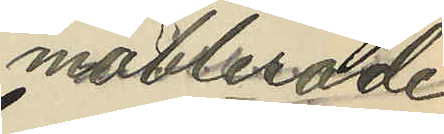möblerade
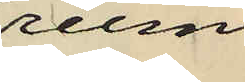rum
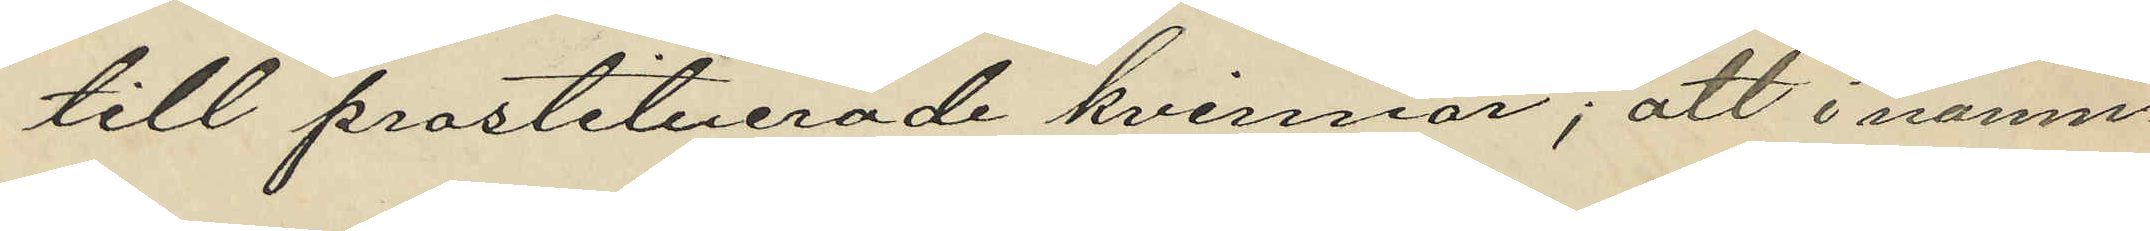till prostituerade kvinnor; att i nämn¬
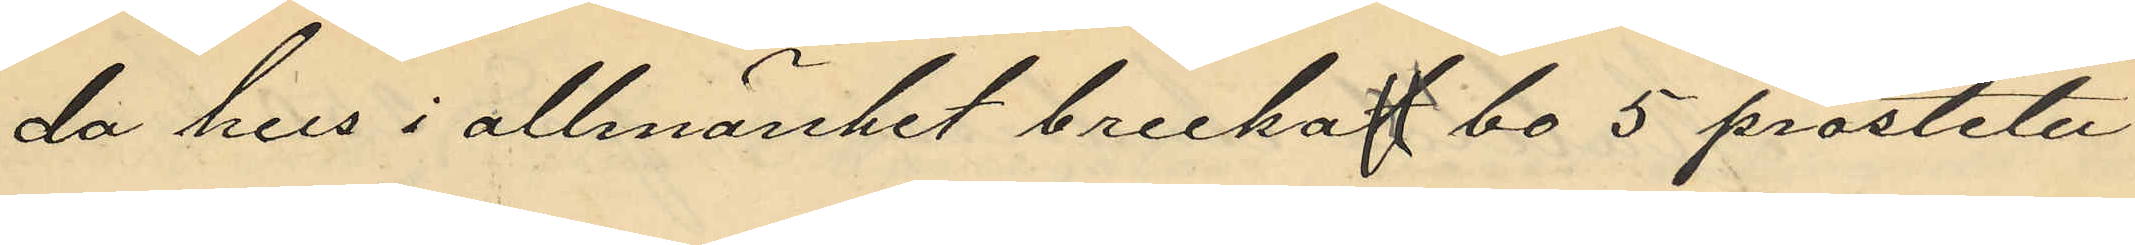da hus i allmänhet brukat bo 5 prostitu¬
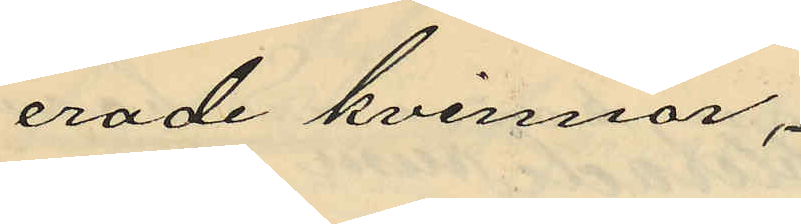erade kvinnor,
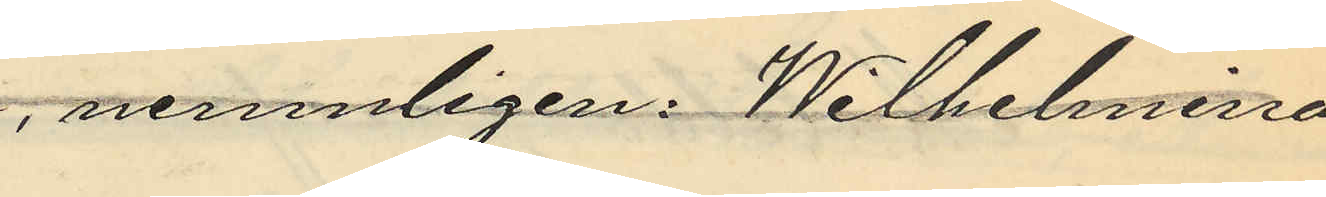nemligen: Wilhelmina
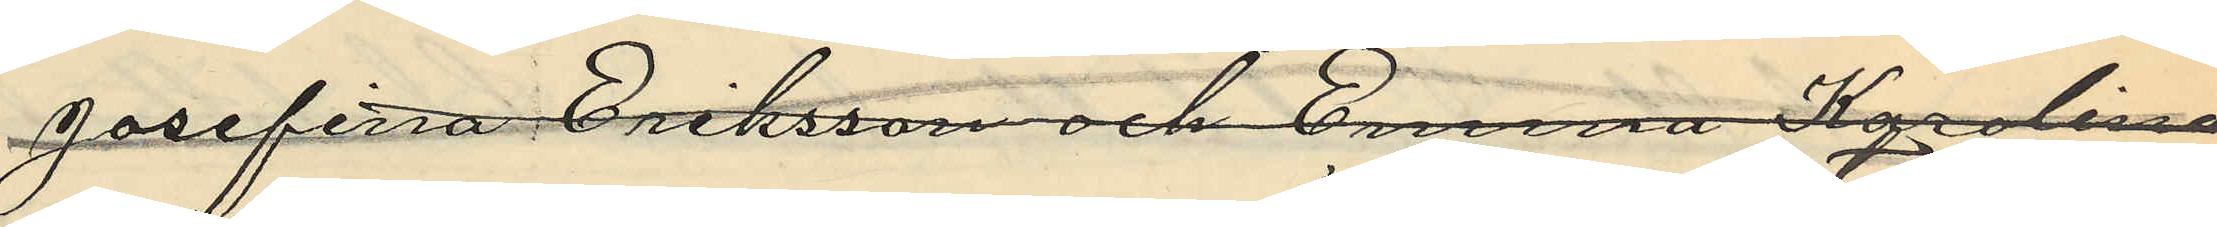Josefina Eriksson och Emma Karolina
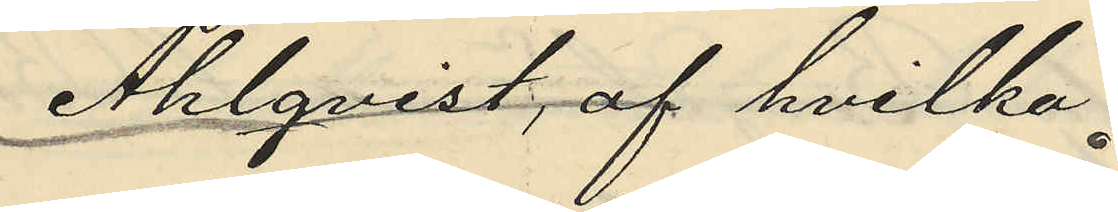Ahlqvist, af hvilka
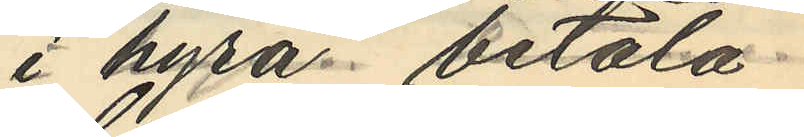i hyra betala
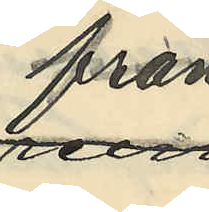från
